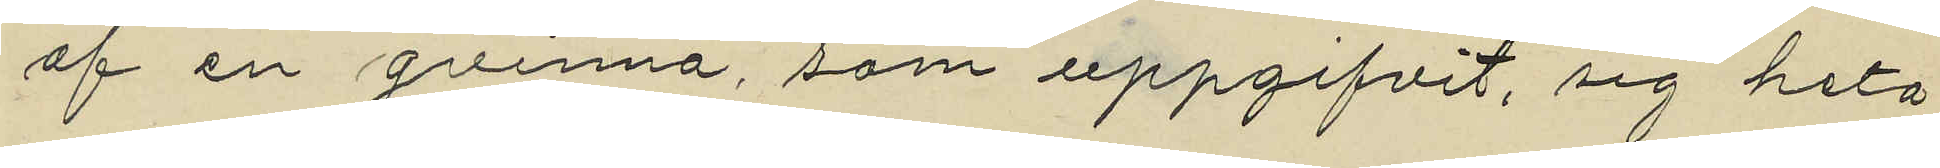af en qvinna, som uppgifvit, sig heta
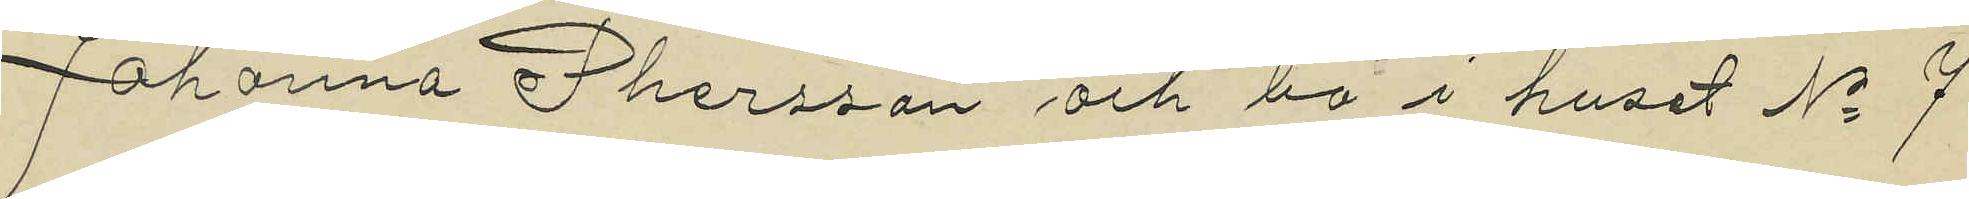Johanna Phersson och bo i huset No 7
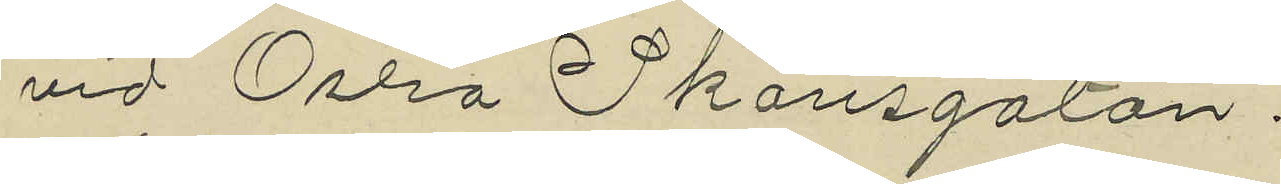vid Östra Skansgatan.
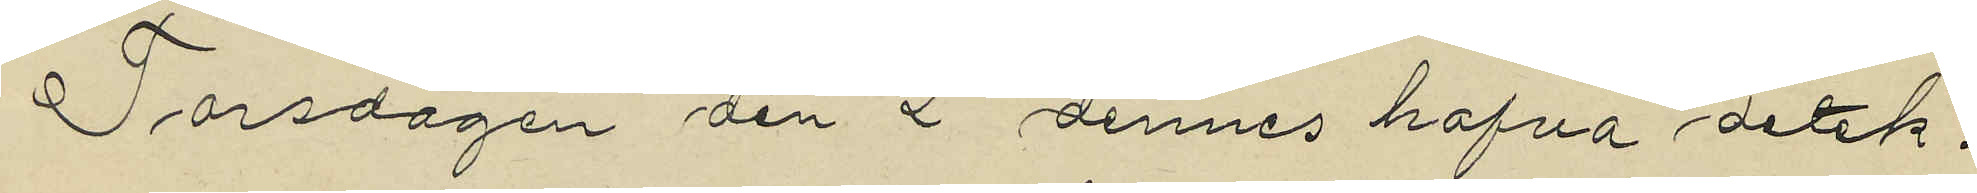Torsdagen den 2 dennes hafva detek¬
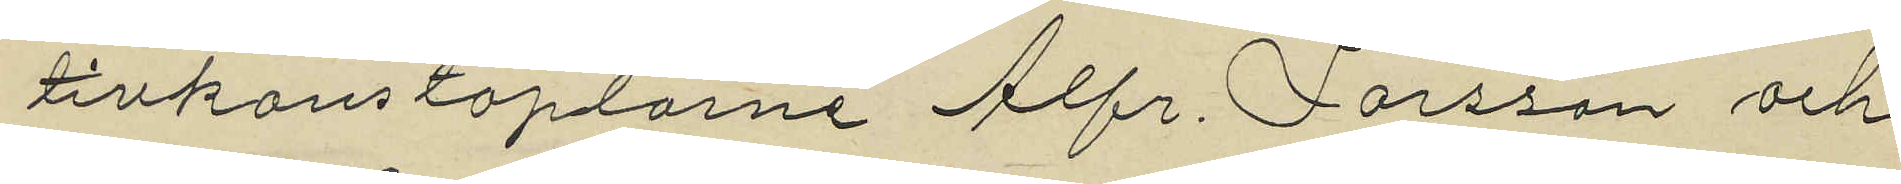tivkonstaplarne Alfr. Larsson och
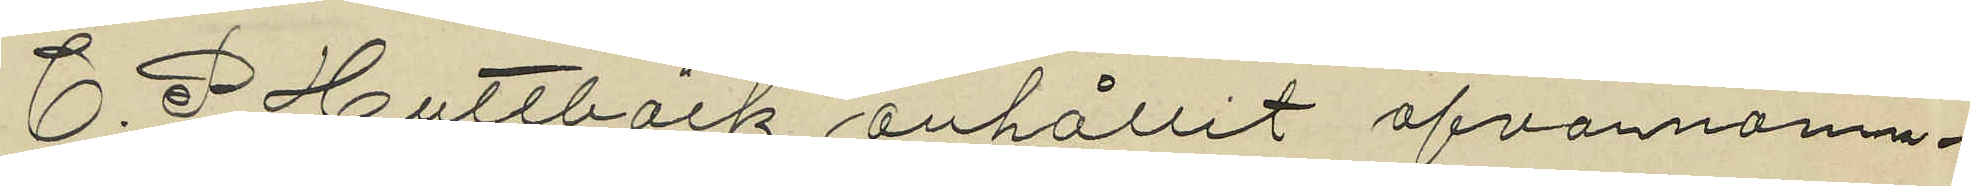C. P. Hultbäck anhållit ofvannämn¬
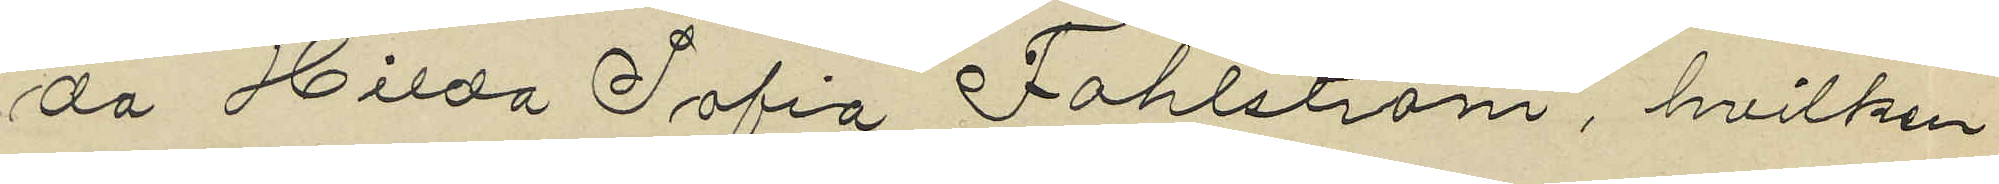da Hilda Sofia Fahlström, hvilken
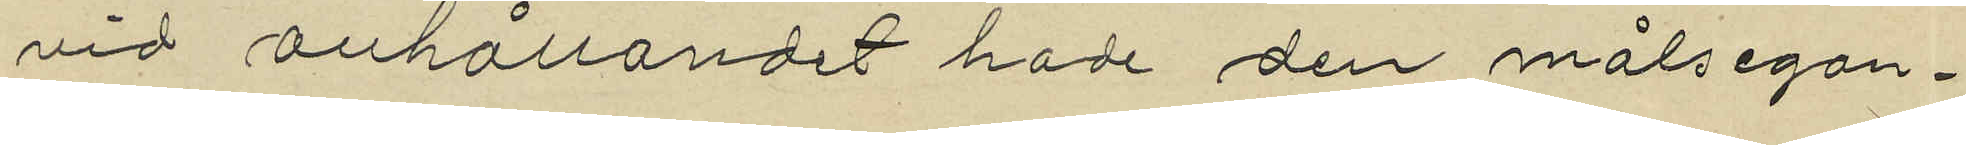vid anhållandet hade den målsegan¬
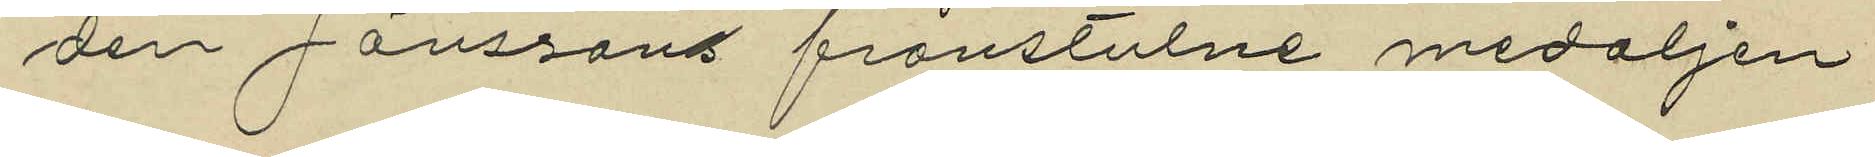den Jönssons frånstulne medaljen
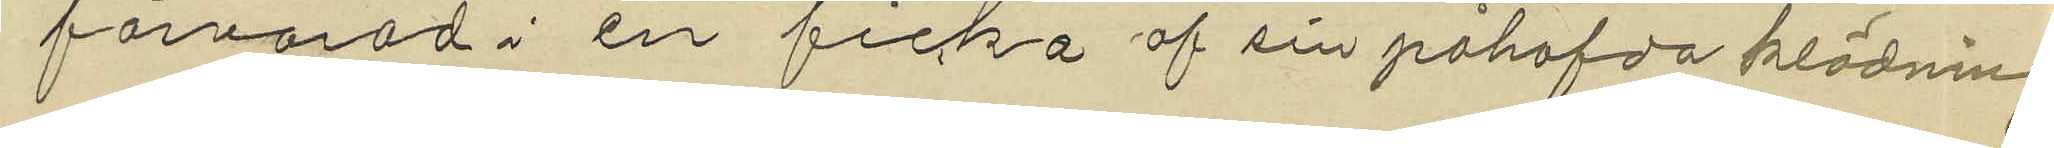förvarad i en ficka af sin påhafda klädning
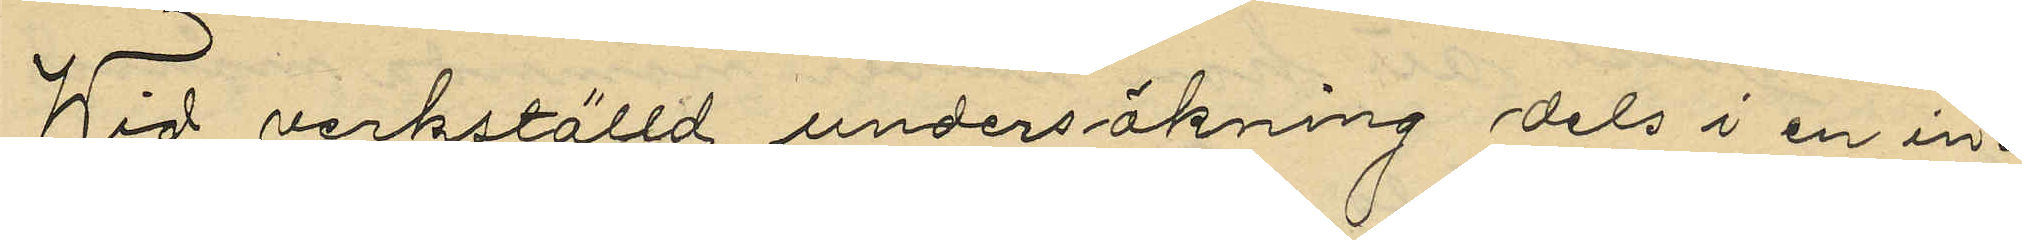Wid verkställd undersökning dels i en in¬
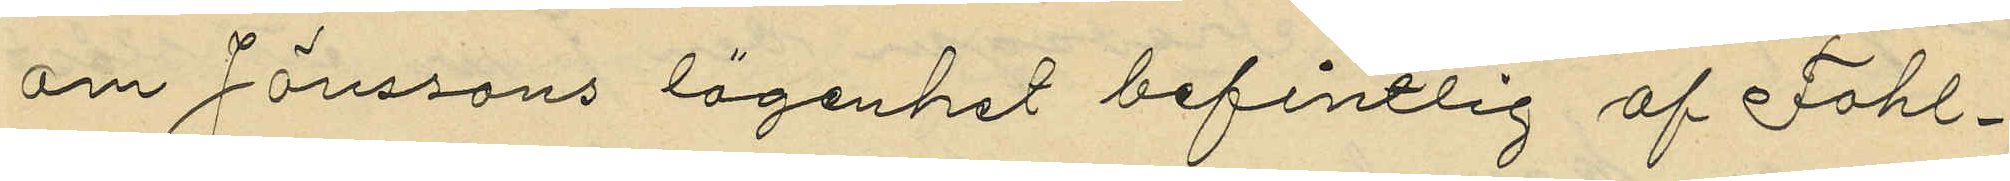om Jönssons lägenhet befintlig af Fahl¬
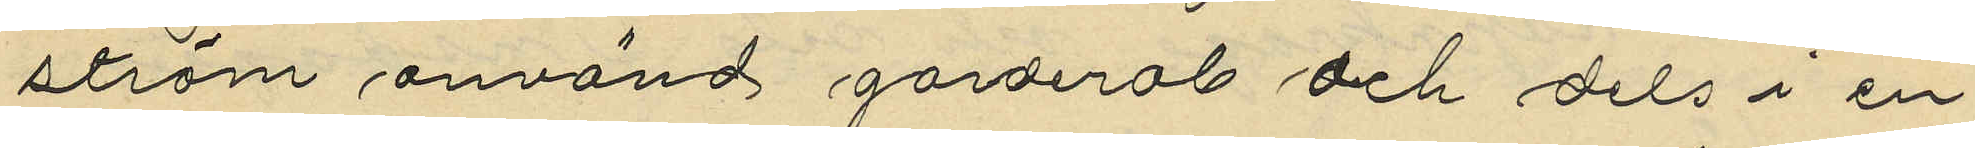ström använd garderob och dels i en
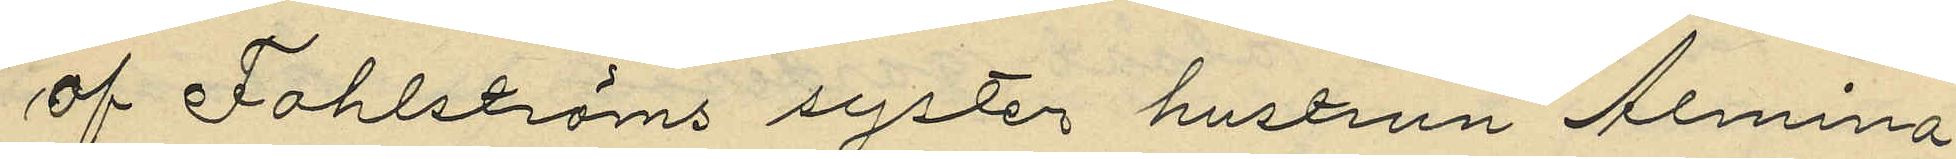af Fahlströms syster hustrun Almina
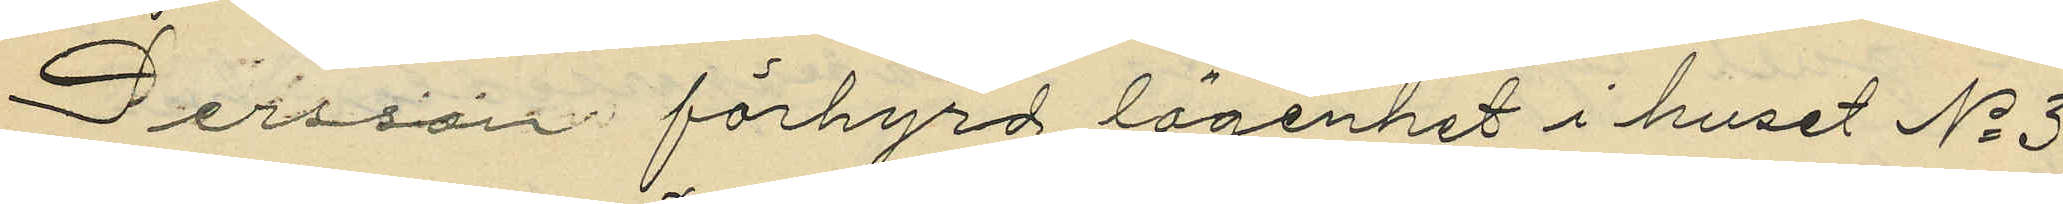Persson förhyrd lägenhet i huset No 3
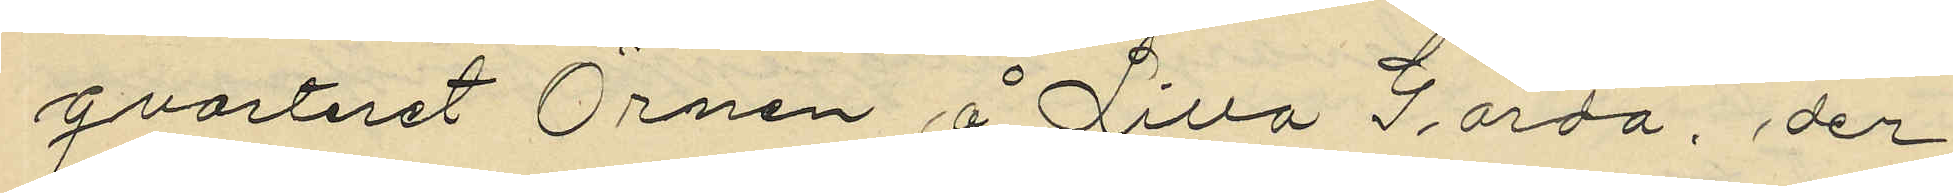qvarteret Örnen å Lilla Gårda, der
